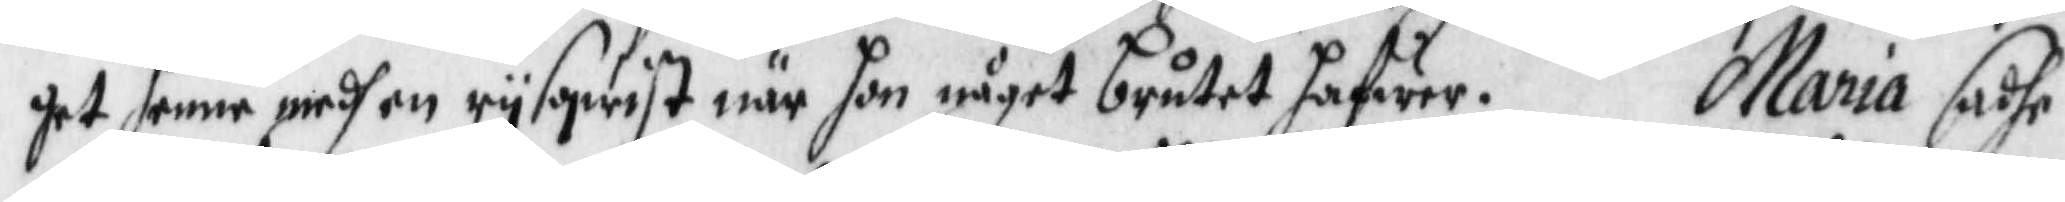get henne medh en rysqwist när hon något brutet hafwer. Maria sadhe
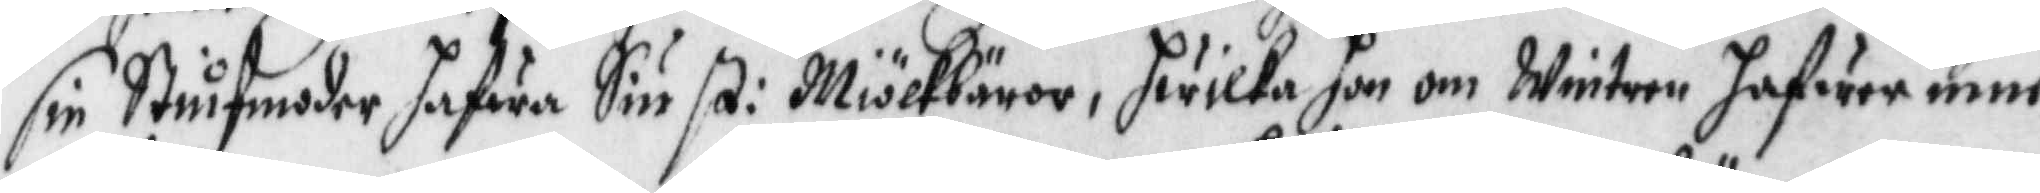sin Stiufmodher hafwa Siu st: Miölkebäror, hwilka hon om Wintren hafwer inne
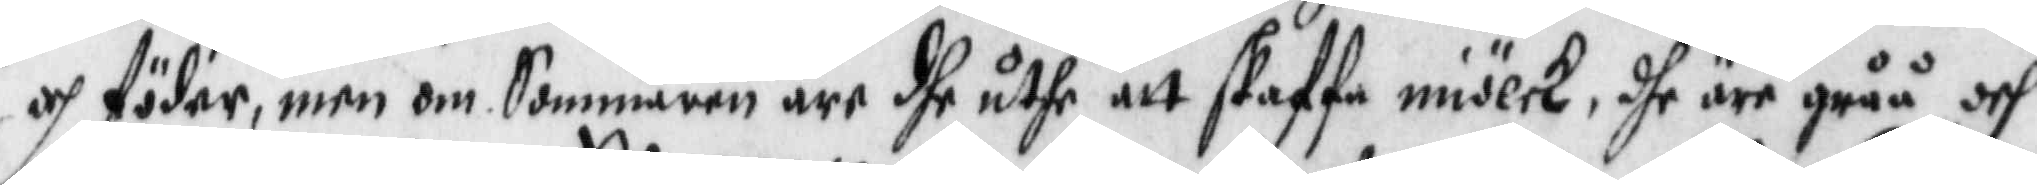och föder, men om Sommaren äre dhe uthe att skaffa miölck, dhe äre gråå och
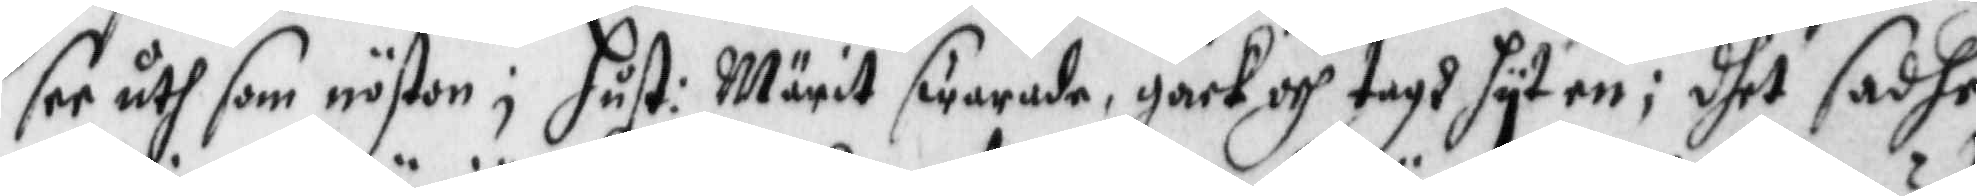ser uth som nöston; Hust: Märit swarade, gack och tagh hyt en; dhet sadhe
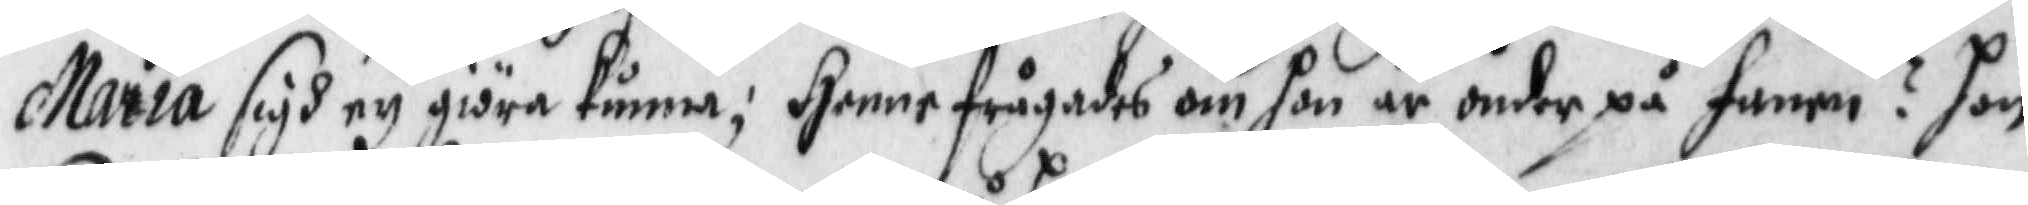Maria sigh ey giöra kunna; Henne frågades om hon är onder på fanen? hon
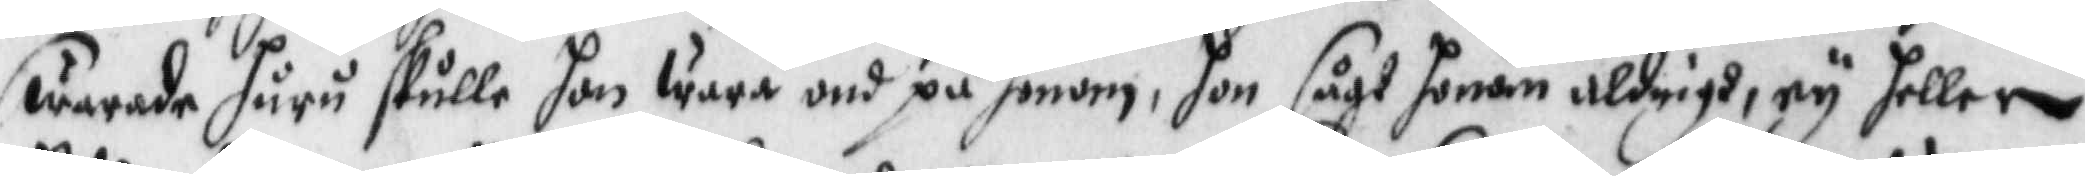swarade huru skulle hon wara ond på honom, hon sågt honom aldrigh, ey heller
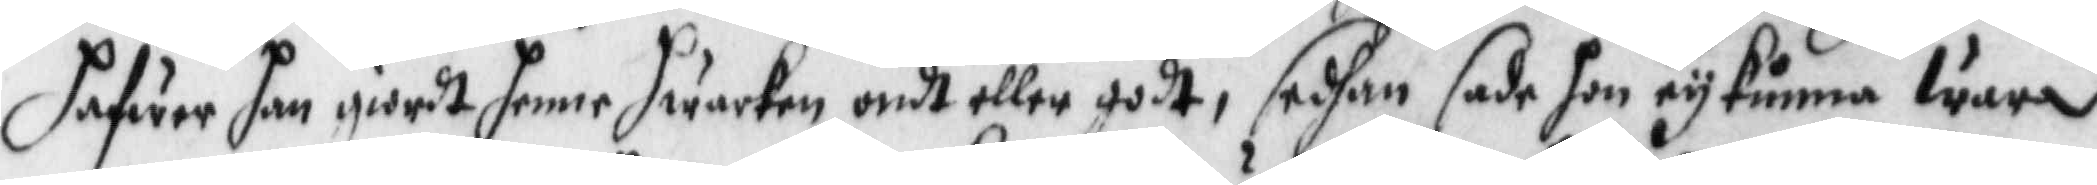hafwer han giordt henne hwarken ondt eller godt, sedhan sade hon ey kunna wara
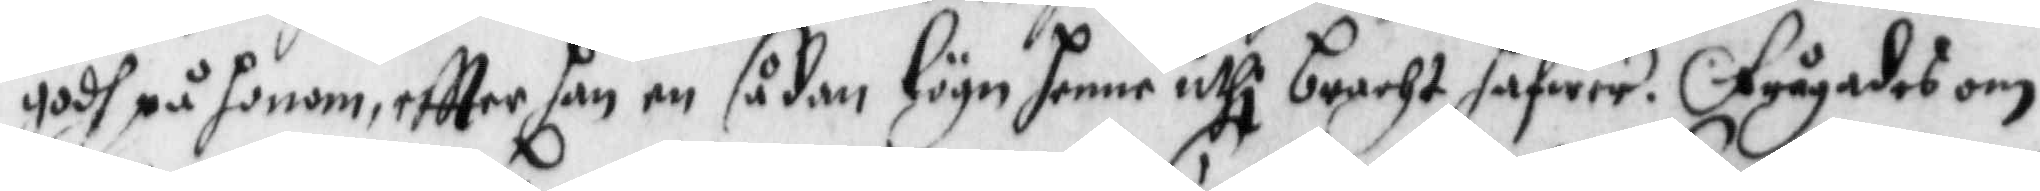godh på honom eftter han en sådan lögn henne uthi bracht hafwer. Frågades om
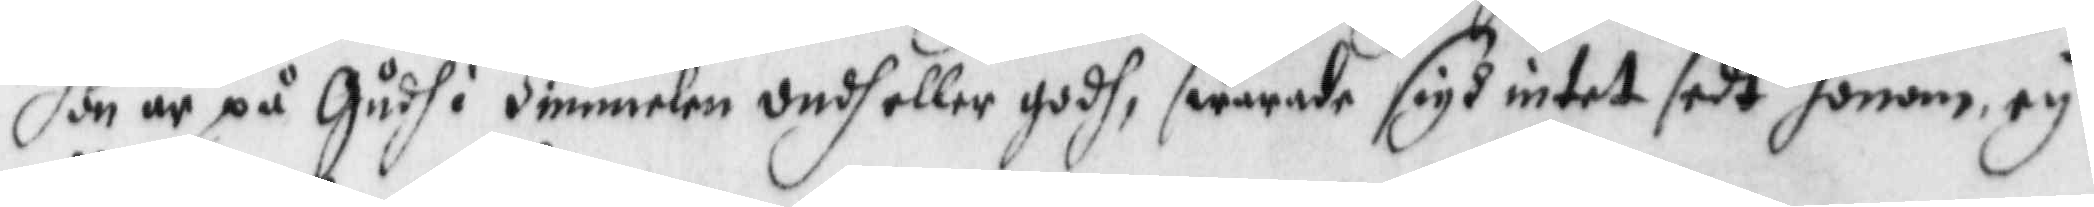hon är på Gudh i Himmelen ondh eller godh, swarade sigh intet sedt honom, ey
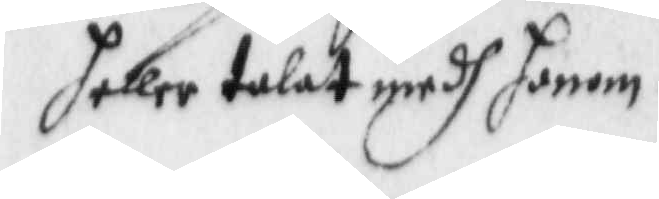heller talat medh honom.
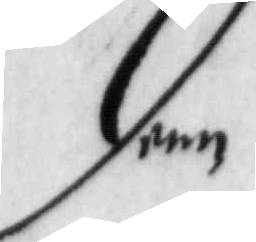dem
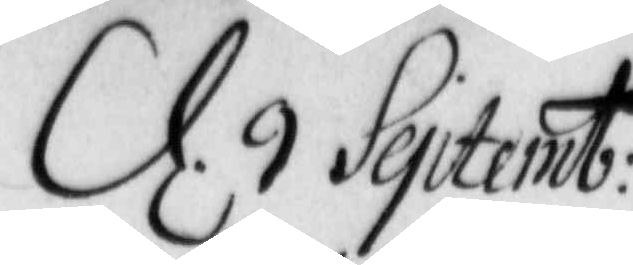d. 9 Septemb:
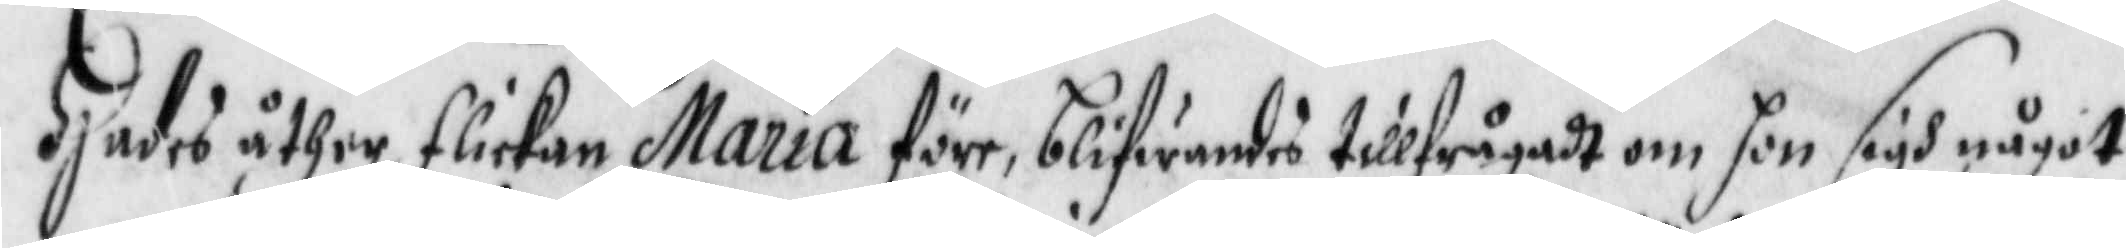Hades åther flickan Maria före, blifwandes tillfrågadt om hon sigh något
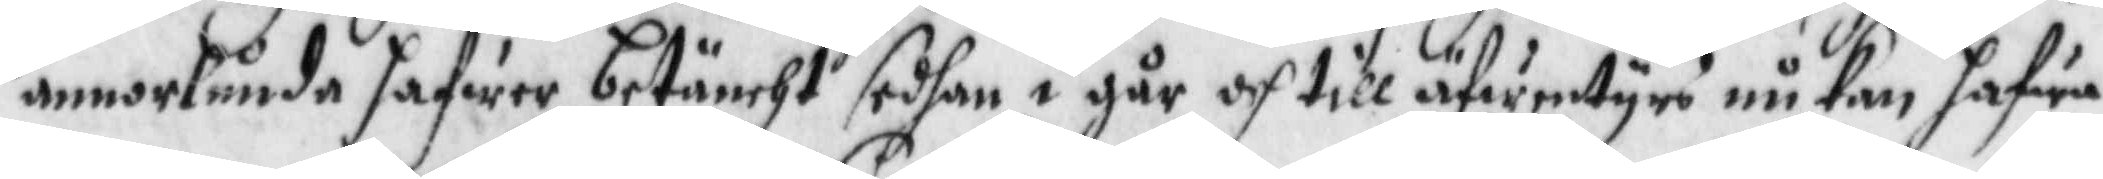annorlunda hafwer betäncht sedhan i går och till äfwentyrs nu kan hafwa
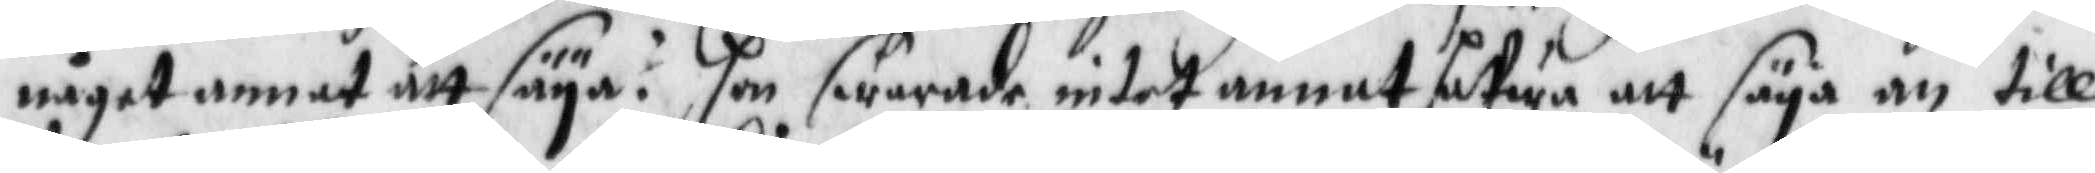något annat att säya? Hon swarade intet annat hafwa att säya an till
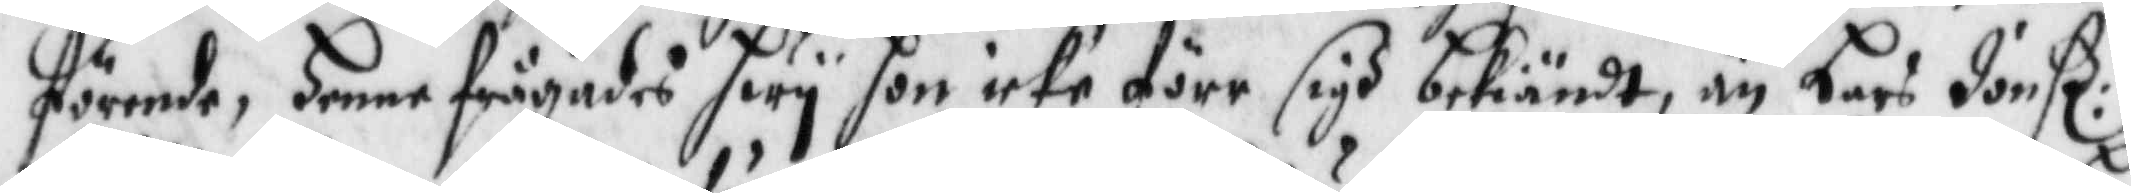förende, Henne frågades hwy hon icke förr sigh bekiändt, än Lars Jonß:
